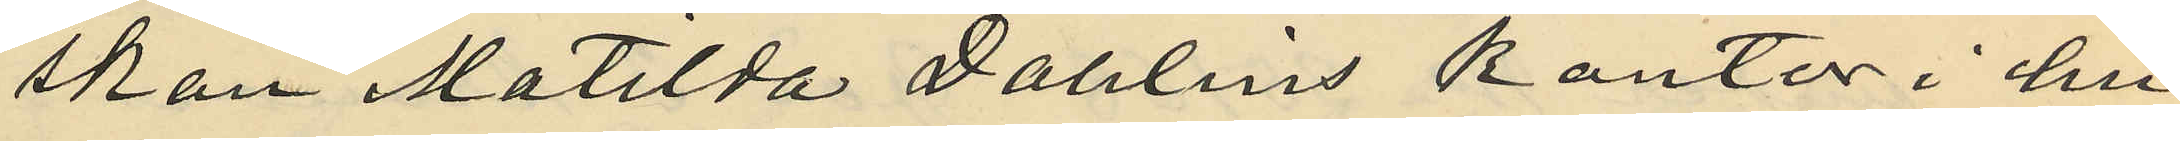skan Matilda Dahlins kontor i hu¬
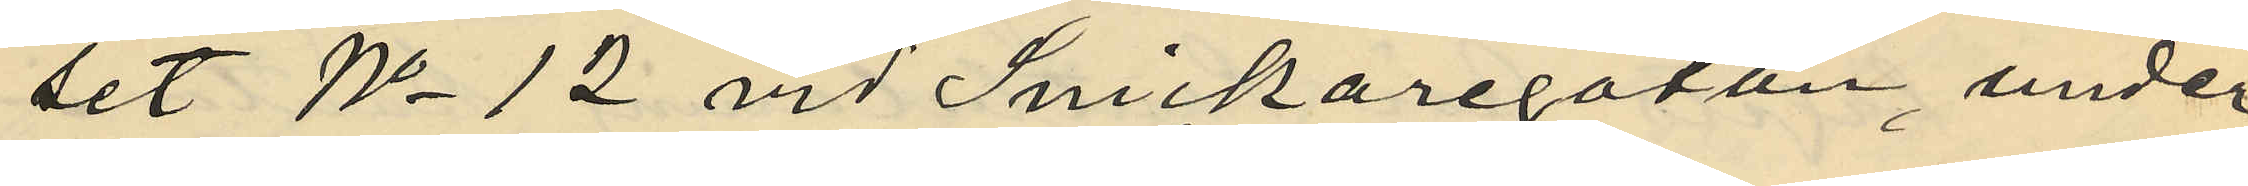set No 12 vid Snickaregatan, under
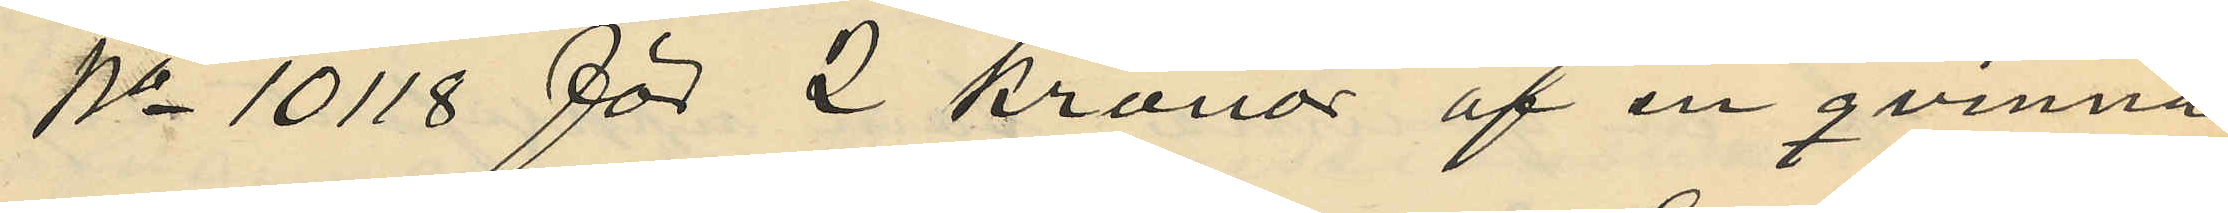No 10118 för 2 kronor af en qvinna
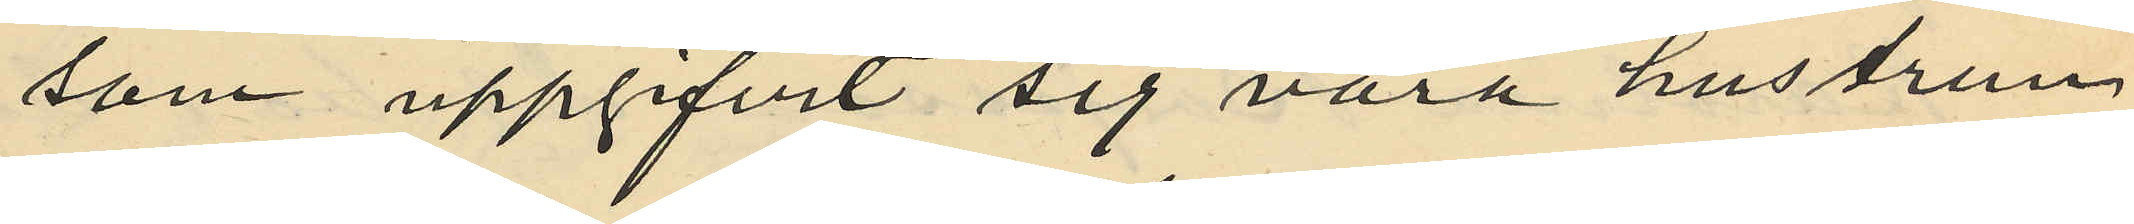som uppgifvit sig vara hustrun
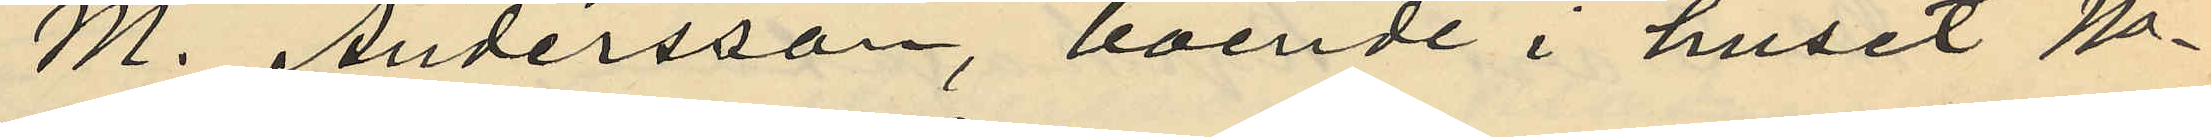M. Andersson, boende i huset No
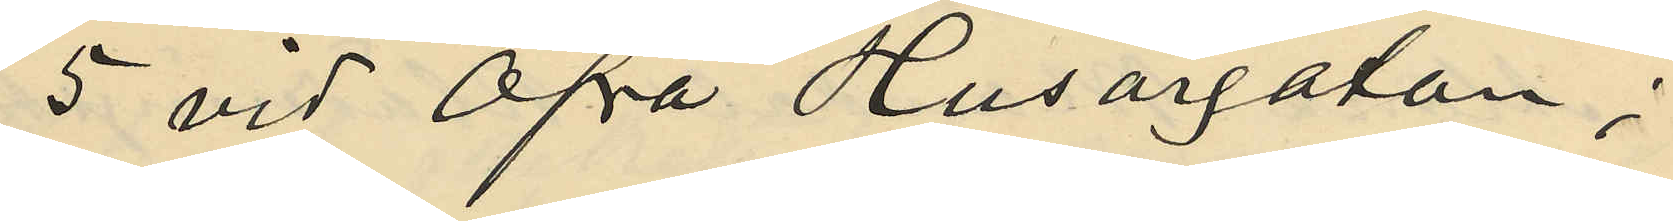5 vid Öfra Husargatan;
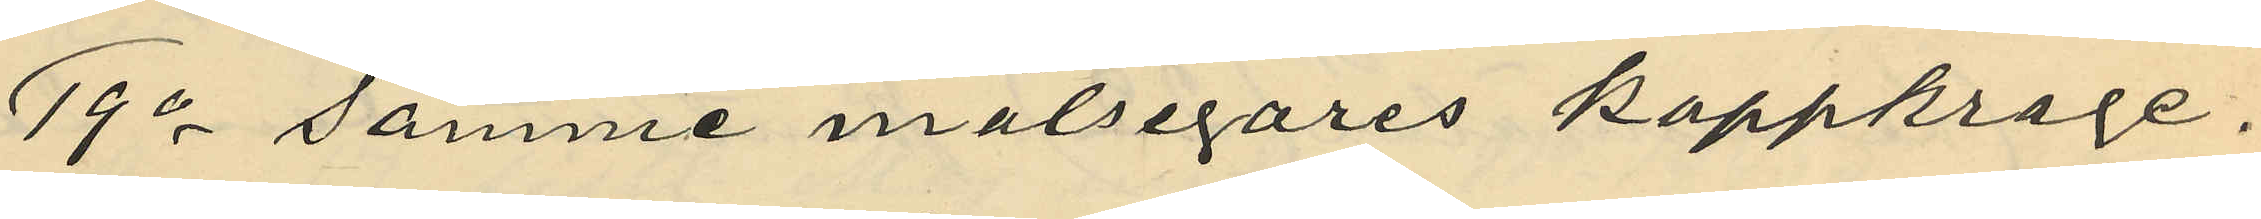19o samme målsegares kappkrage.
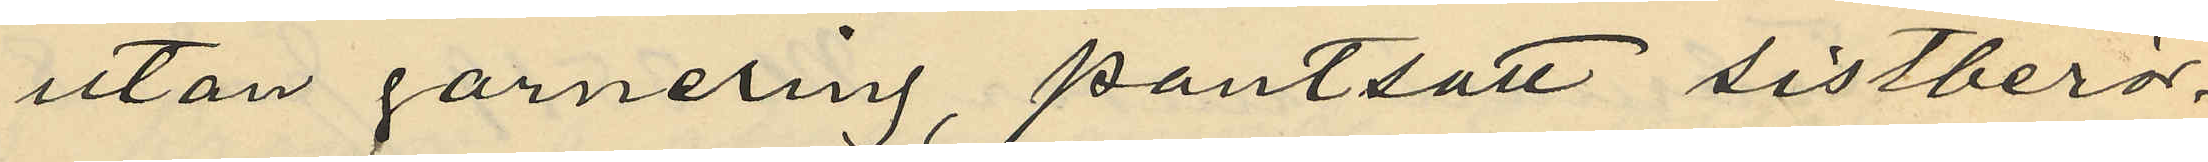utan garnering pantsatt sistberör¬
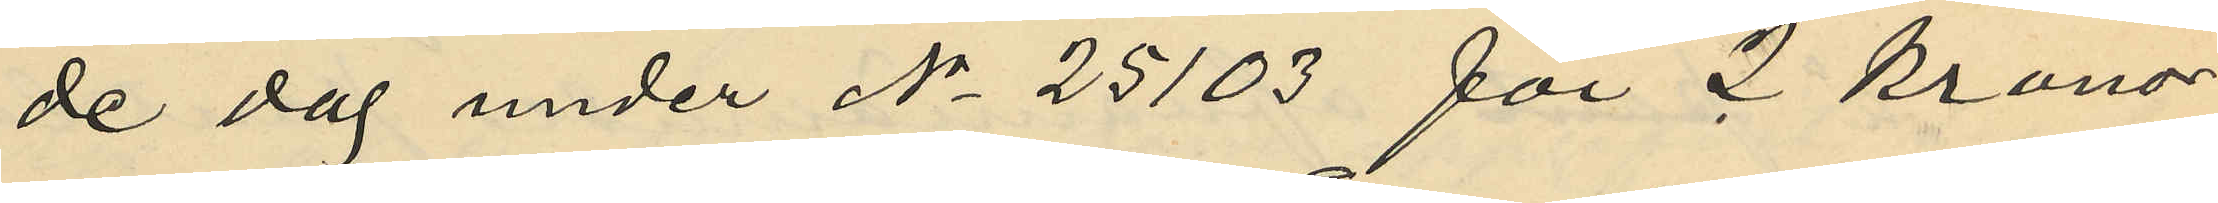de dag under No 25103 för 2 kronor
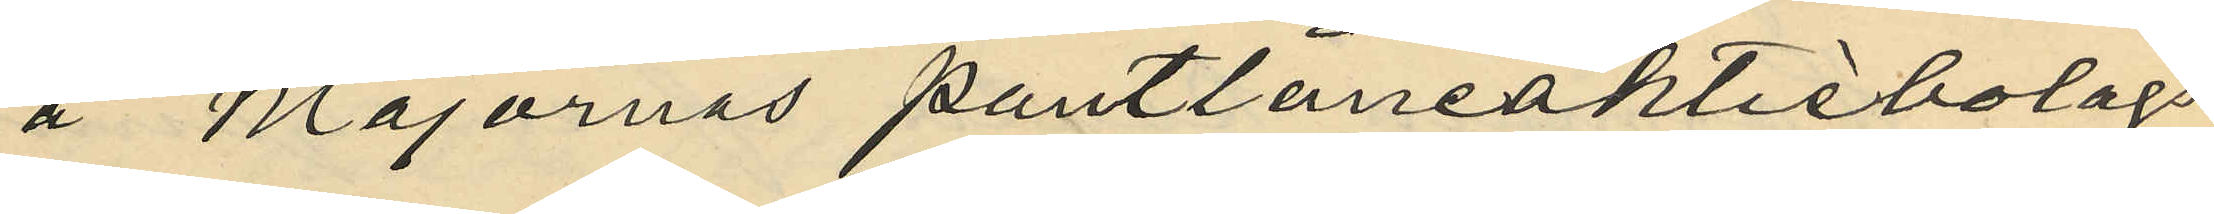å Majornas pantlåneaktiebolags
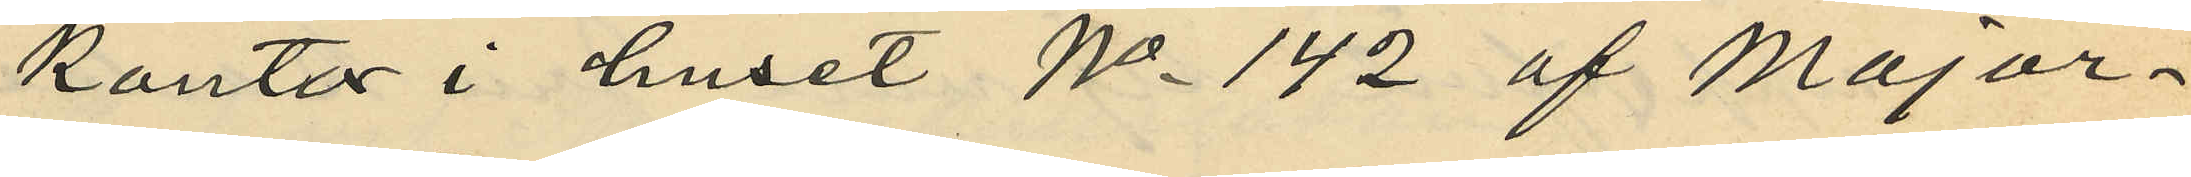kontor i huset No 142 af Major¬
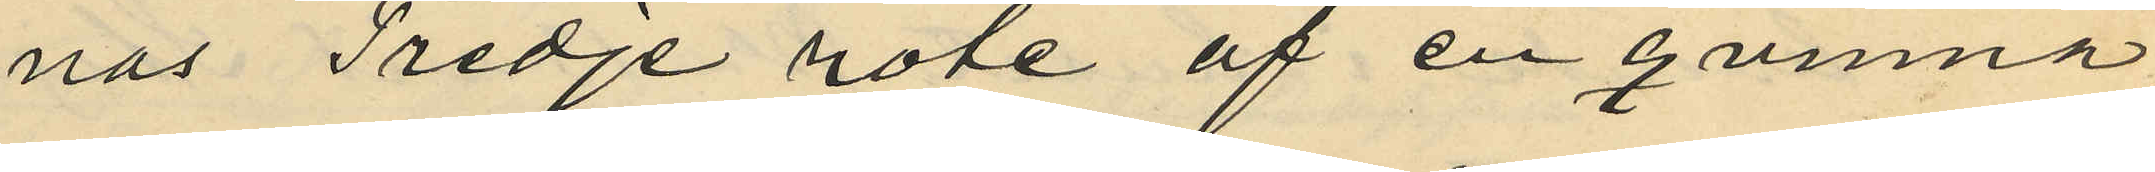nas Tredje rote af en qvinna
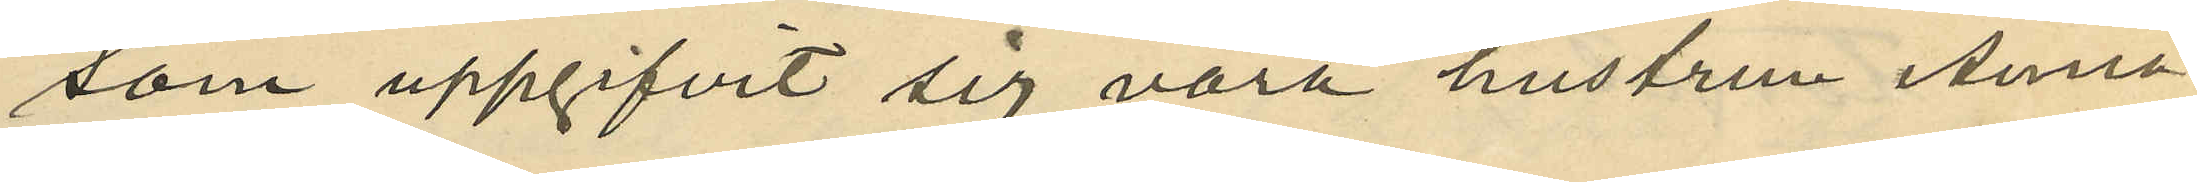som uppgifvit sig vara hustrun Anna
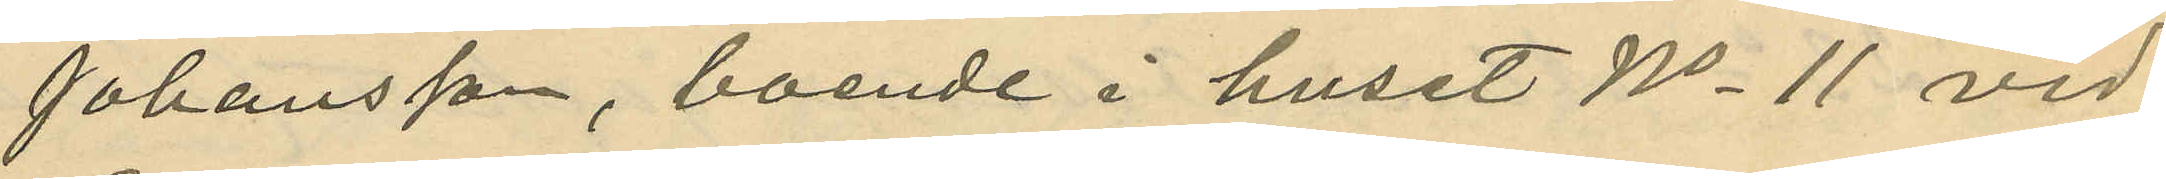Johansson, boende i huset No 11 vid
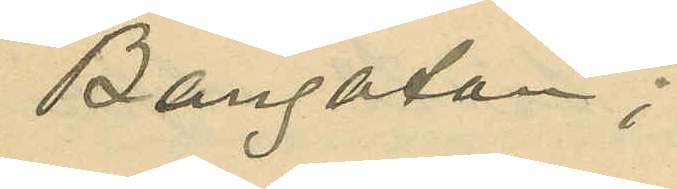Bangatan;
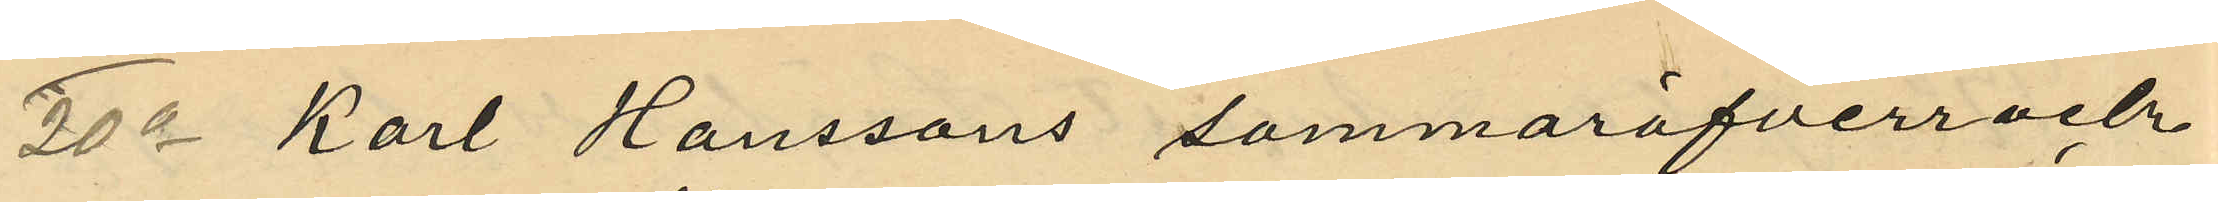20o Karl Hanssons sommaröfverrock
